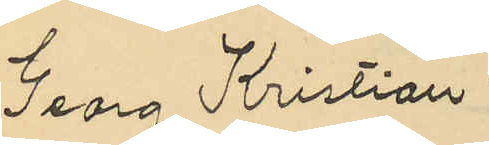Georg Kristian
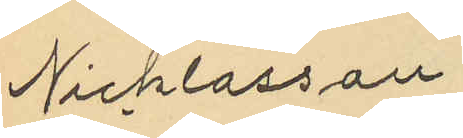Nicklasson
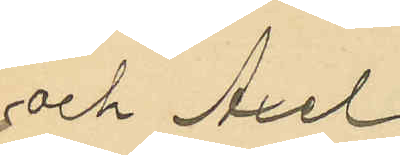och Axel
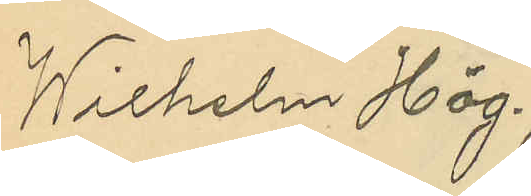Wilhelm Hög¬
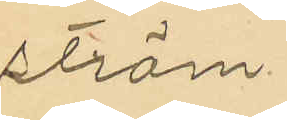ström.
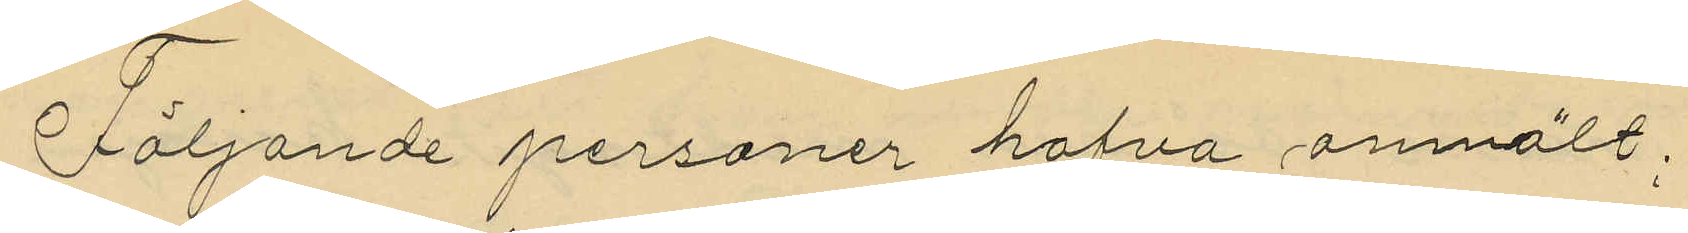Följande personer hafva anmält:
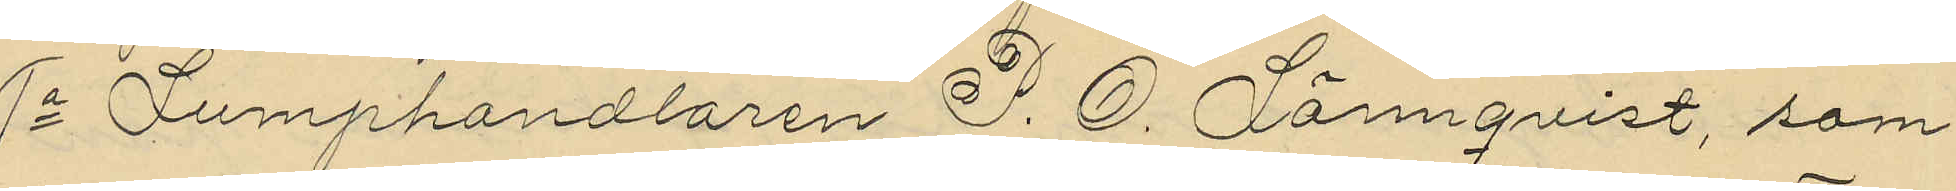1o Lumphandlaren P. O. Lönnqvist, som
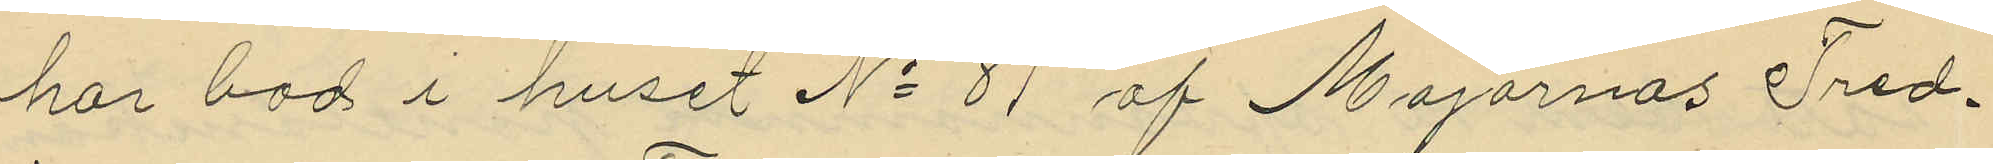har bod i huset No 81 af Majornas Tred¬
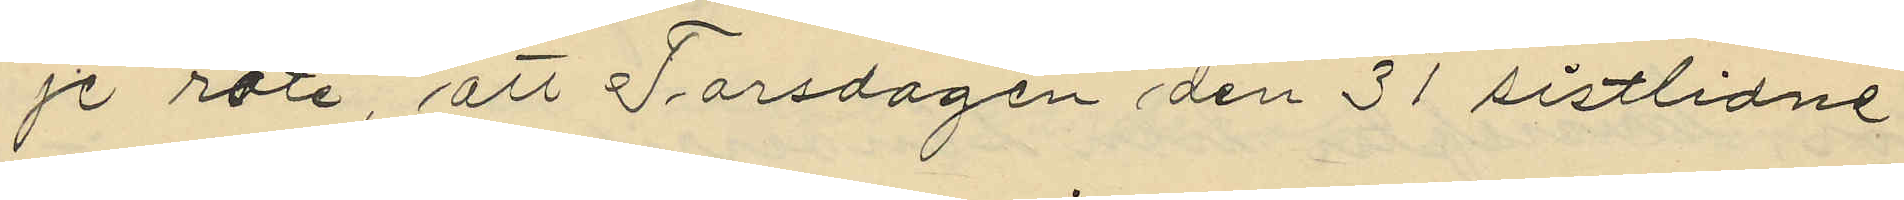je rote, att Torsdagen den 31 sistlidne
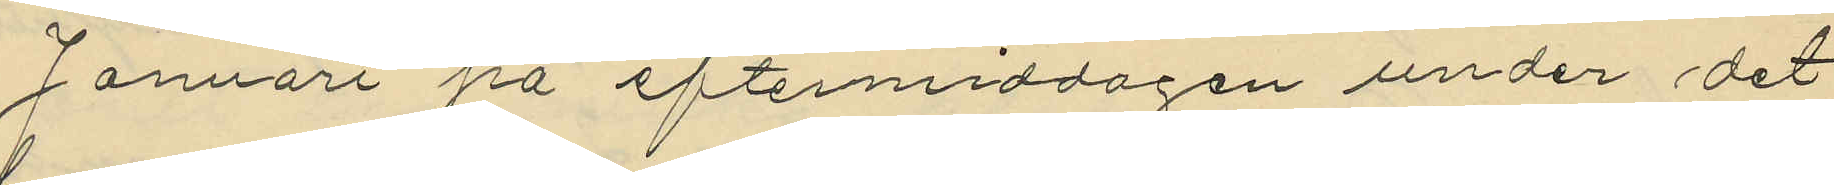Januari på eftermiddagen under det
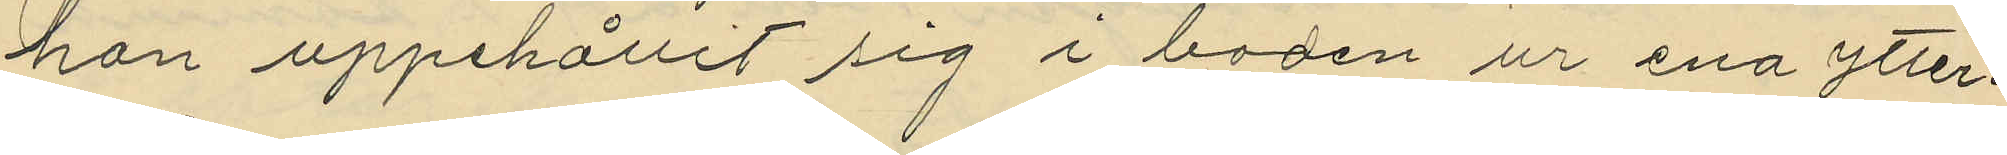han uppehållit sig i boden ur ena ytter¬
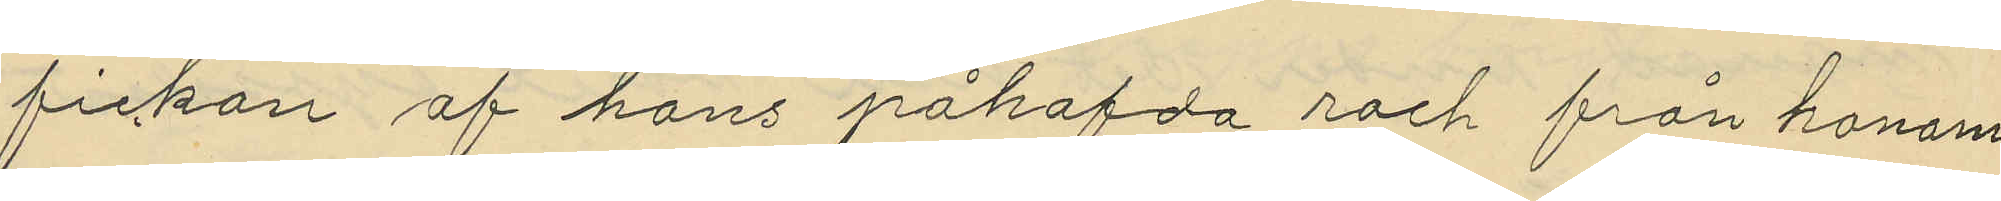fickan af hans påhafda rock från honom
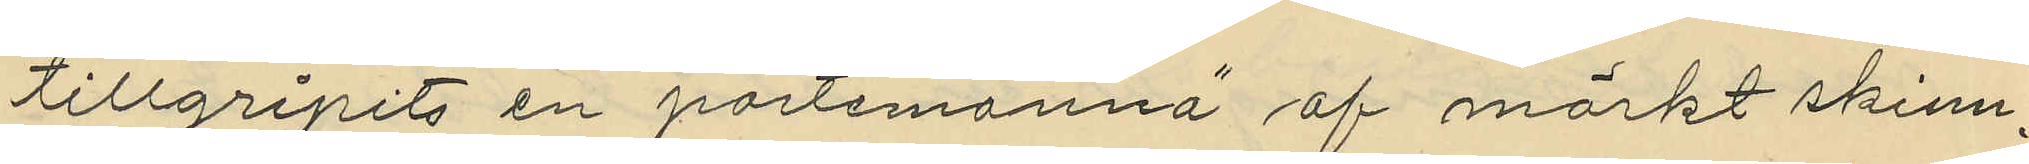tillgripits en portmonnä af mörkt skinn
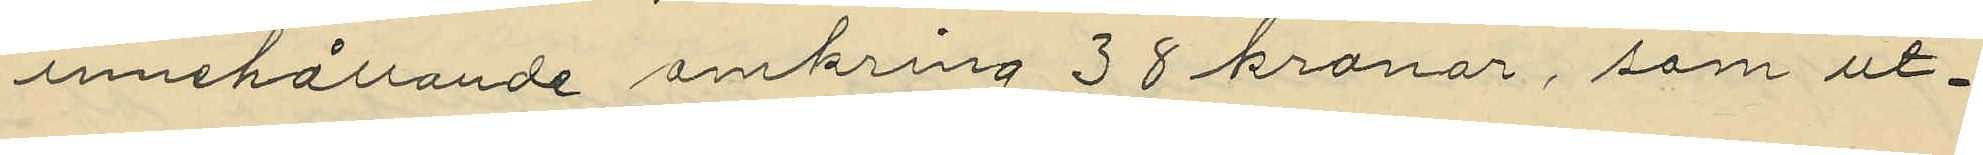innehållande omkring 38 kronor, som ut¬
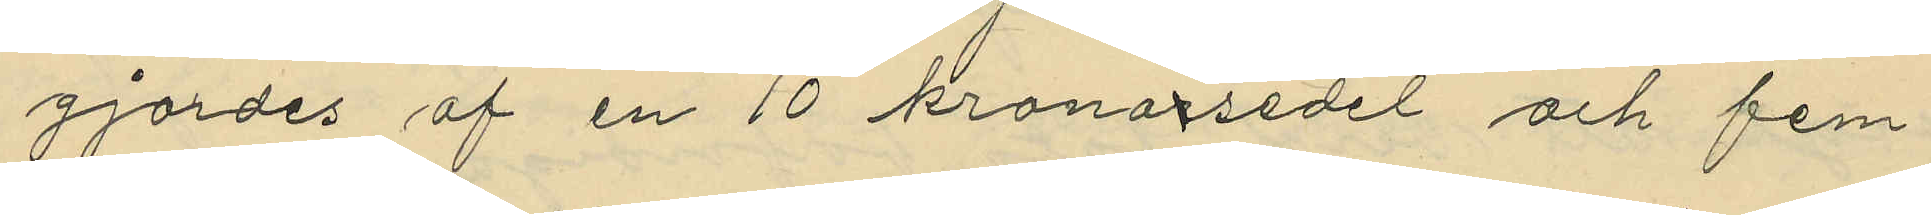gjordes af en 10 kronorsedel och fem¬
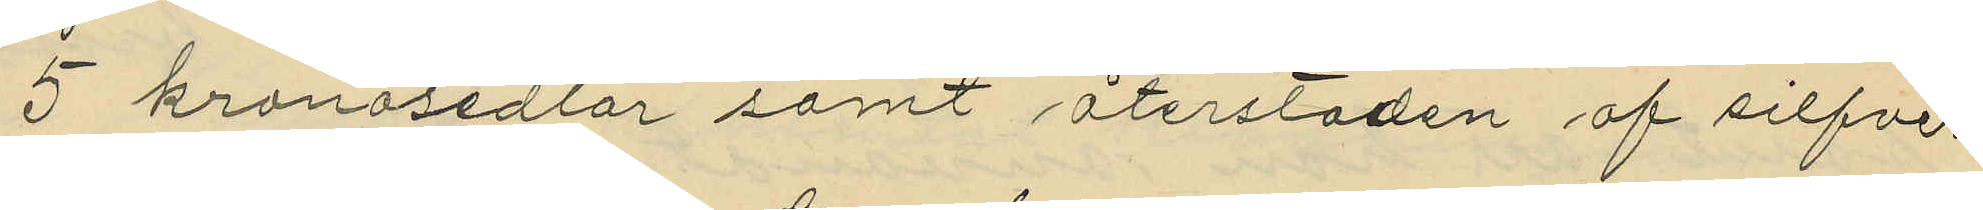5 kronosedlar samt återstoden af silfver
